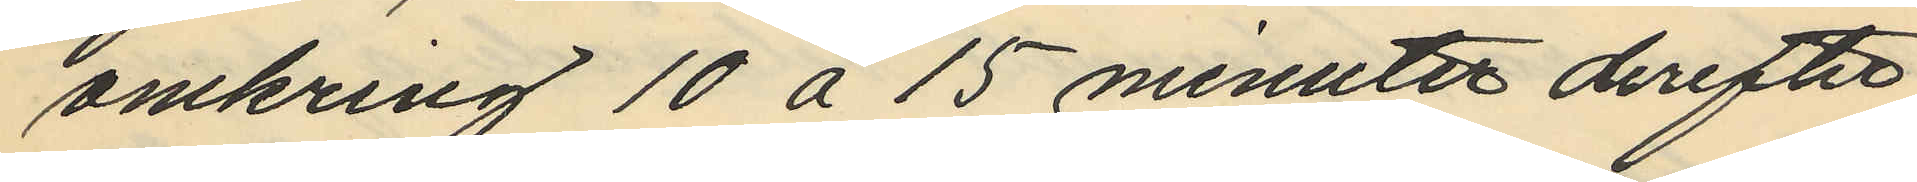omkring 10 à 15 minuter derefter
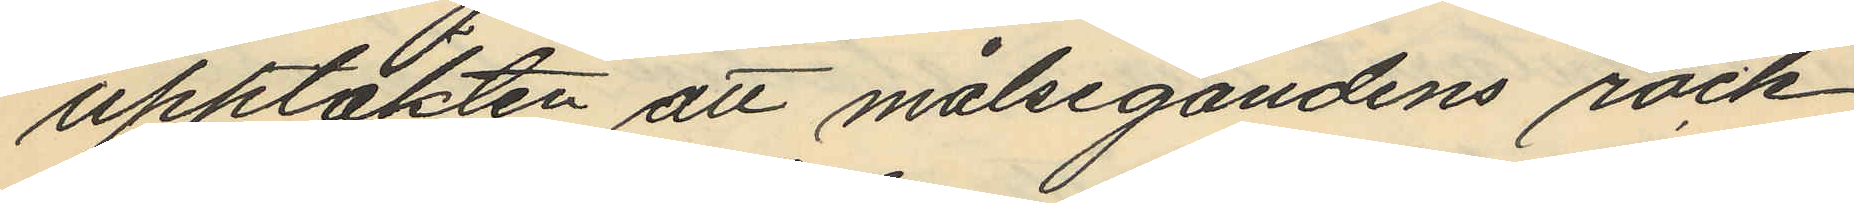upptäkten att målsegandens rock
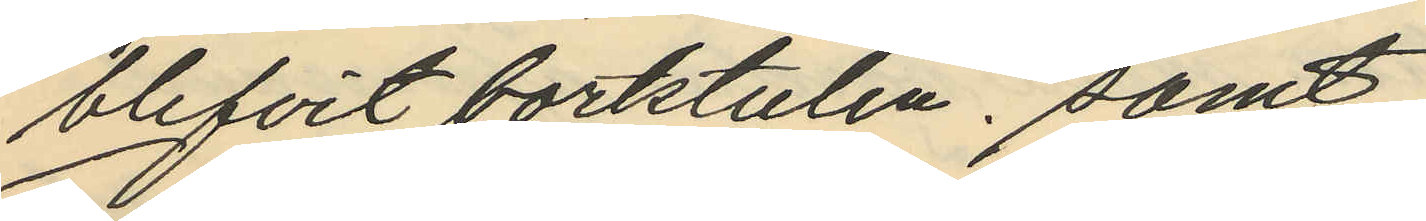blifvit bortstulen. samt.
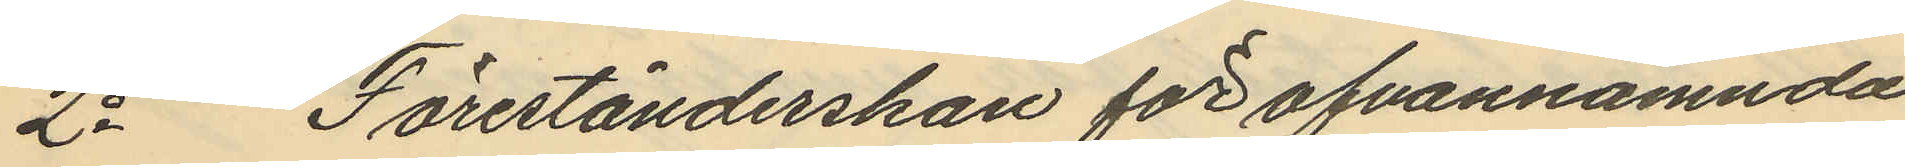2o Förestånderskan för ofvannämnda
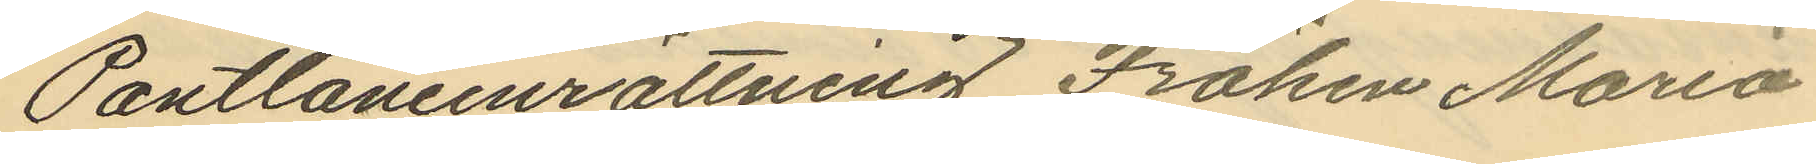Pantlåneinrättning Fröken Maria
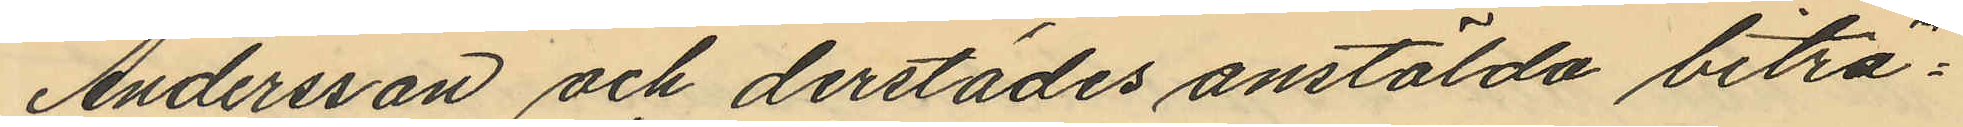Andersson och derstädes anstälda biträ¬
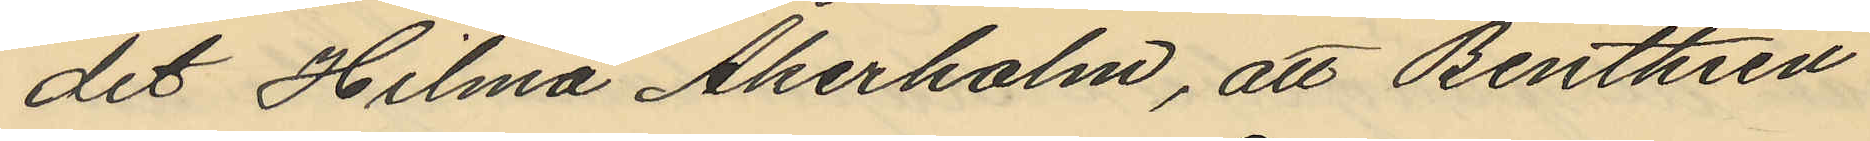det Hilma Åkerholm, att Benthien
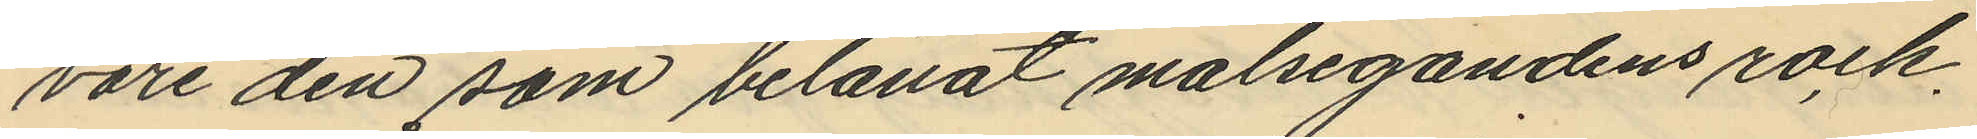vore den som belånat målsegandens rock.
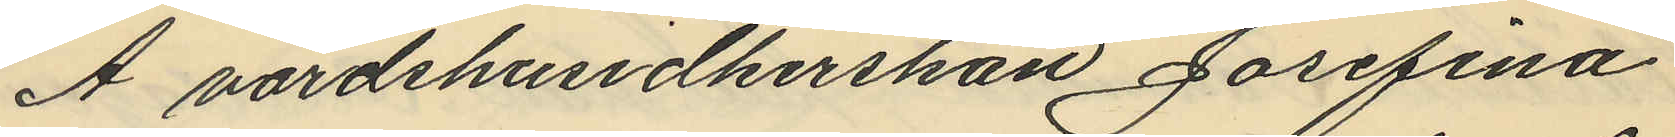Å värdshusidkerskan Josefina
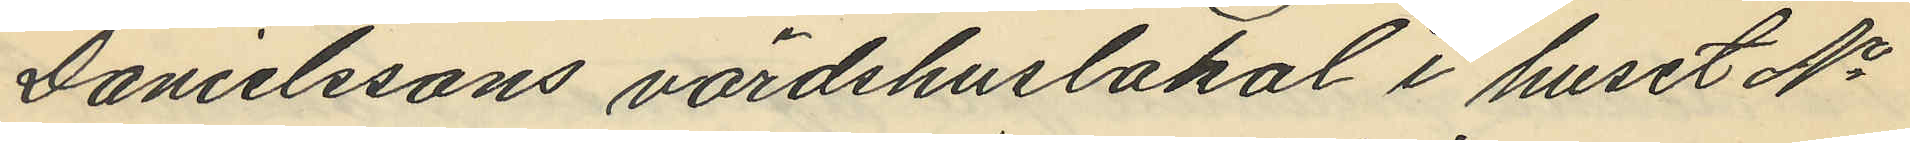Danielssons värdshuslokal i huset No
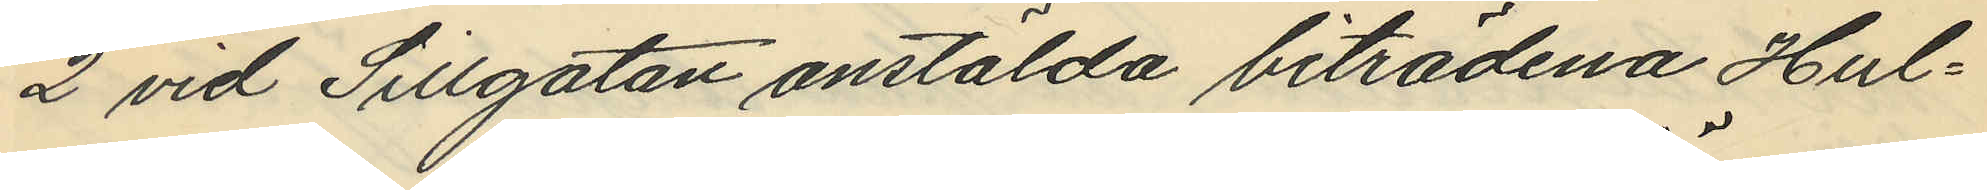2 vid Sillgatan anstälda biträdena Hul¬
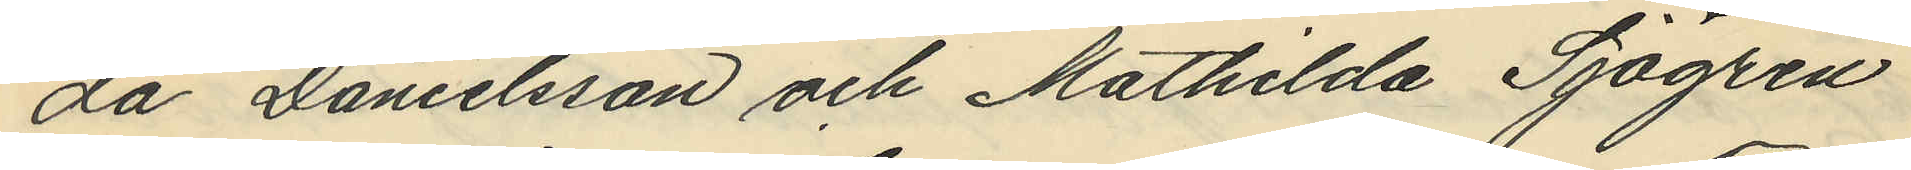da Danielsson och Mathilda Sjögren
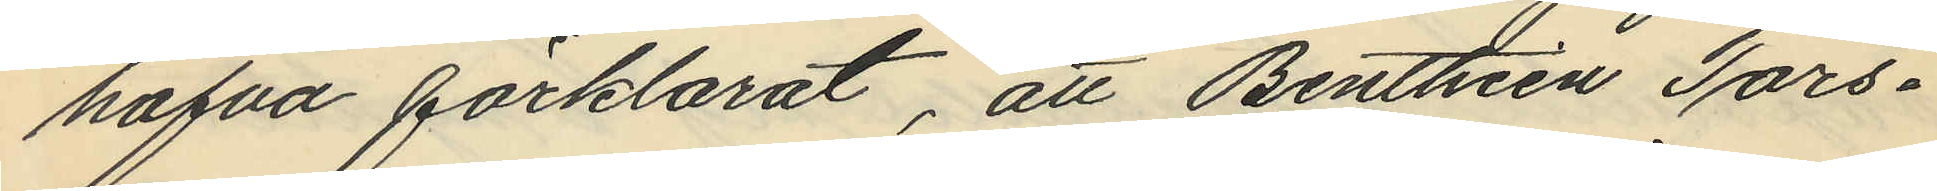hafva förklarat, att Benthien Tors¬
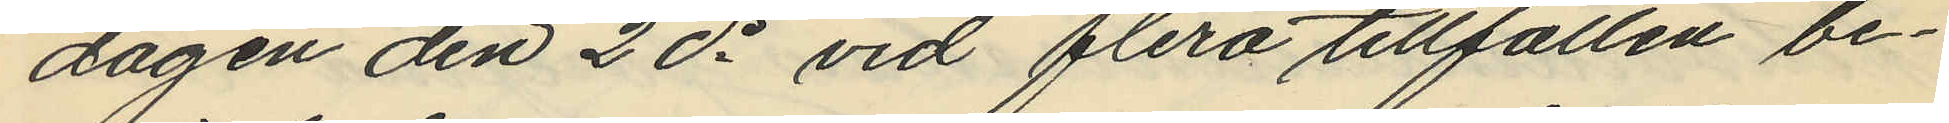dagen den 2 ds vid flera tillfällen be¬
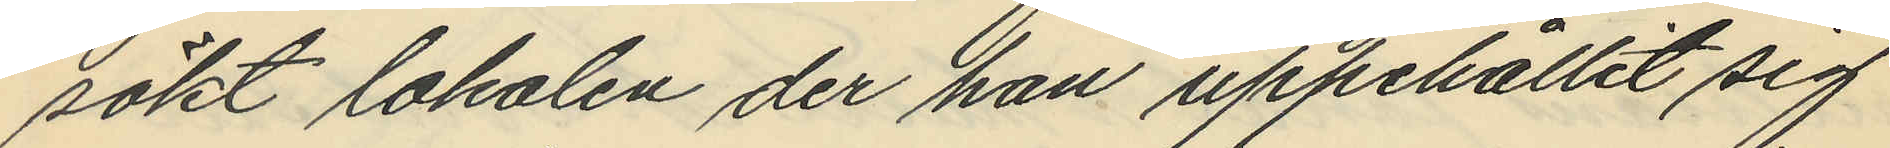sökt lokalen der han uppehållit sig
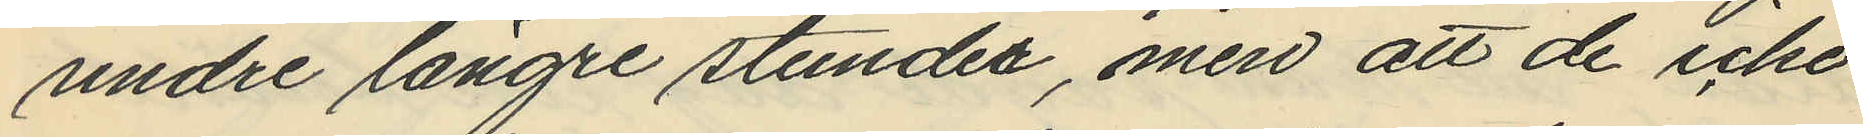undre längre stunder, men att de icke
